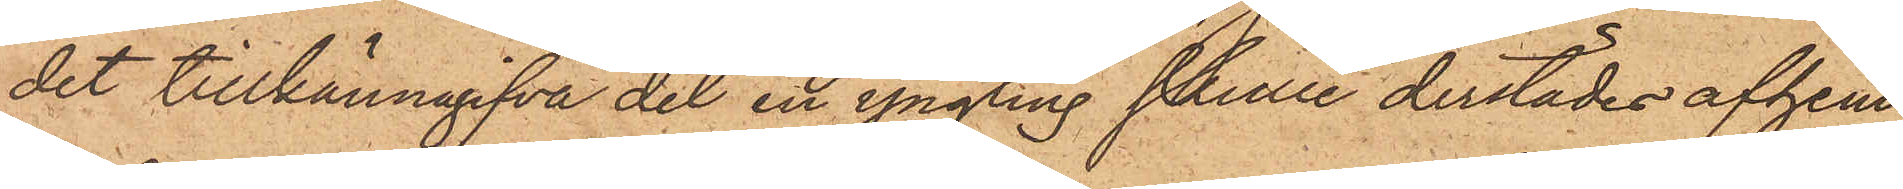det tillkännagifva det en yngling skulle derstädes afhem¬
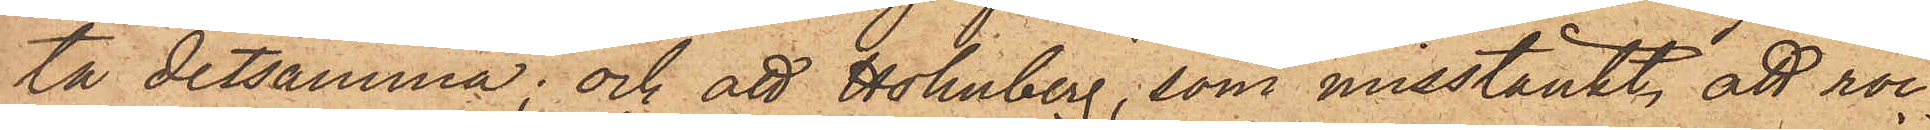ta detsamma; och att Holmberg, som misstänkt att roc¬
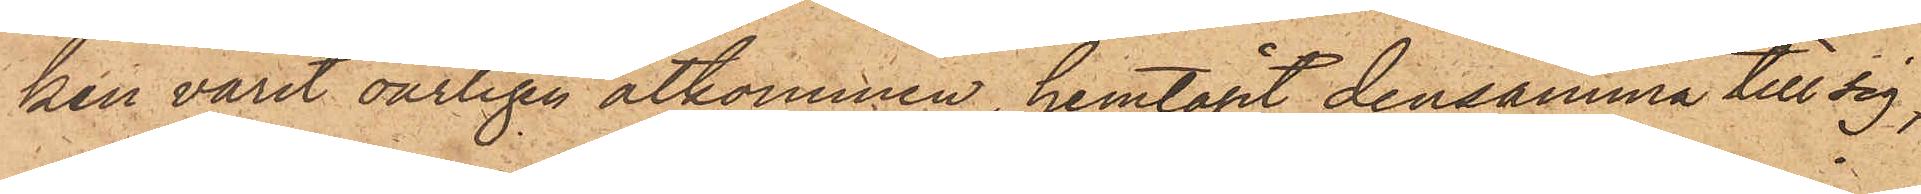ken varit oärligen åtkommen, hemtagit densamma till sig;
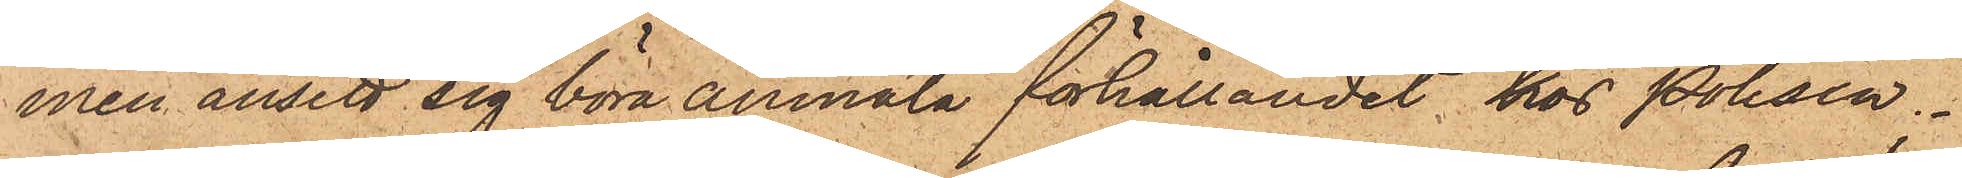men ansett sig böra anmäla förhållandet hos Polisen.
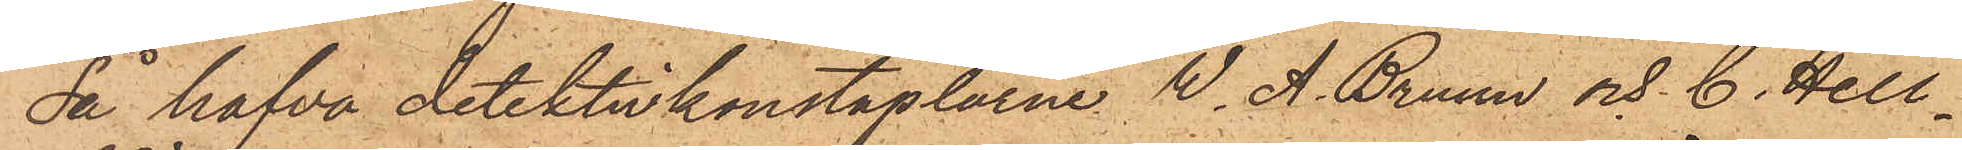då hafva detektivkonstaplarne W. A. Bruun & C. Hell¬
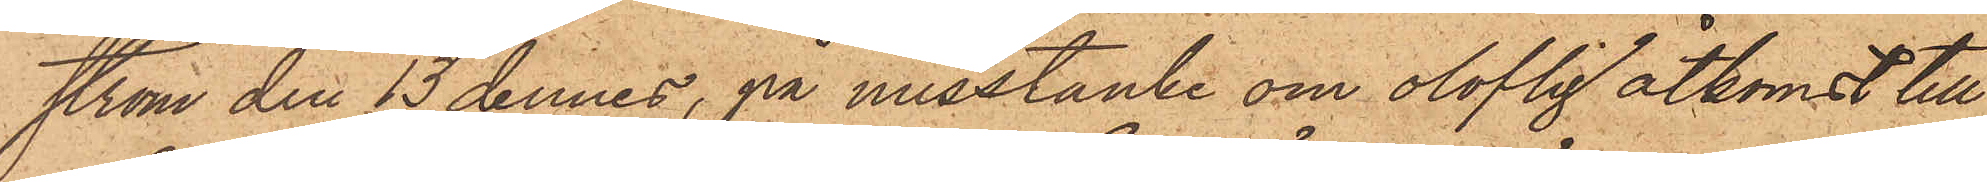ström den 13 dennes, på misstänke om olofligt åtkomst till
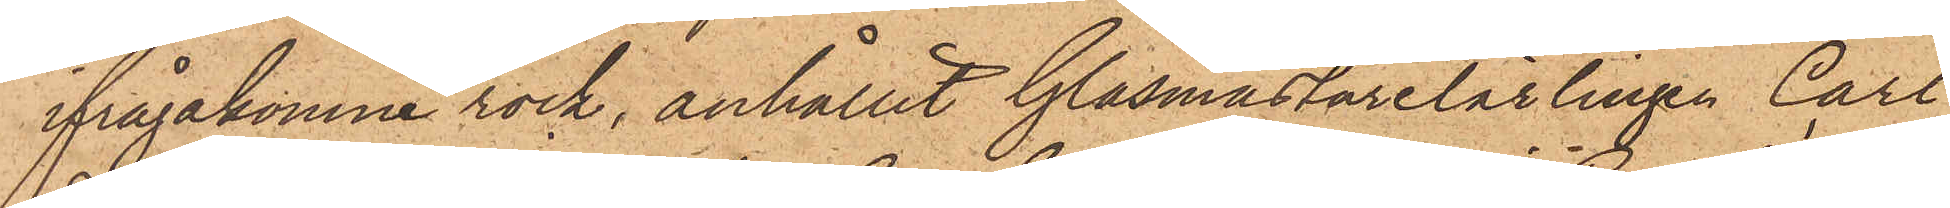ifrågakomne rock, anhållit Glasmästarelärlingen Carl
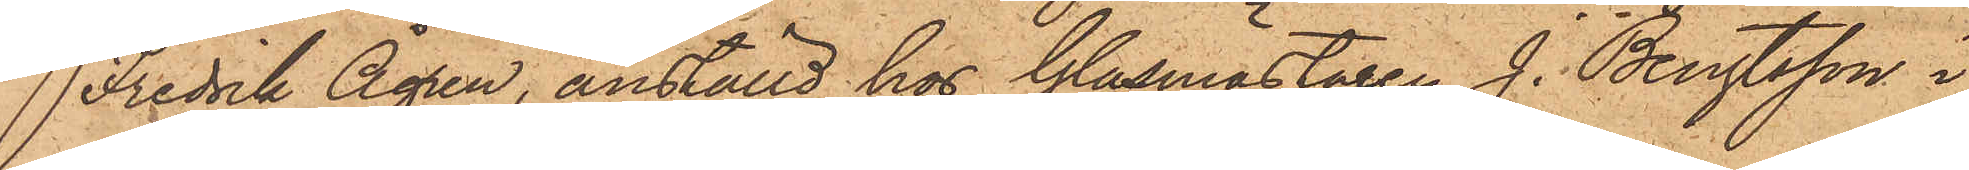Fredrik Ågren, anställd hos Glasmästaren J. Bengtsson i
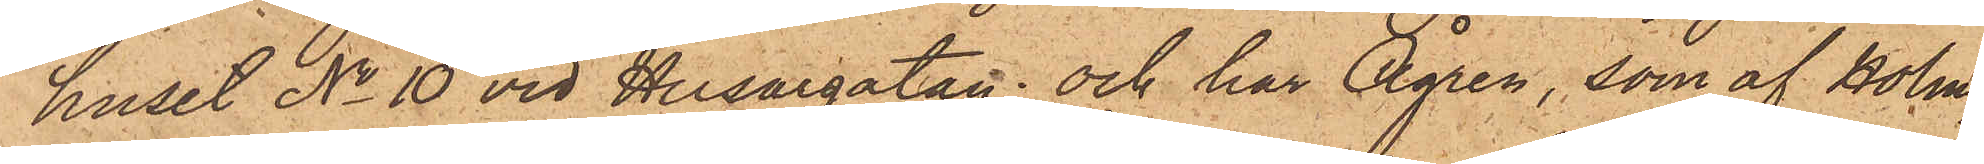huset No 10 vid Husargatan; och har Ågren, som af Holm¬
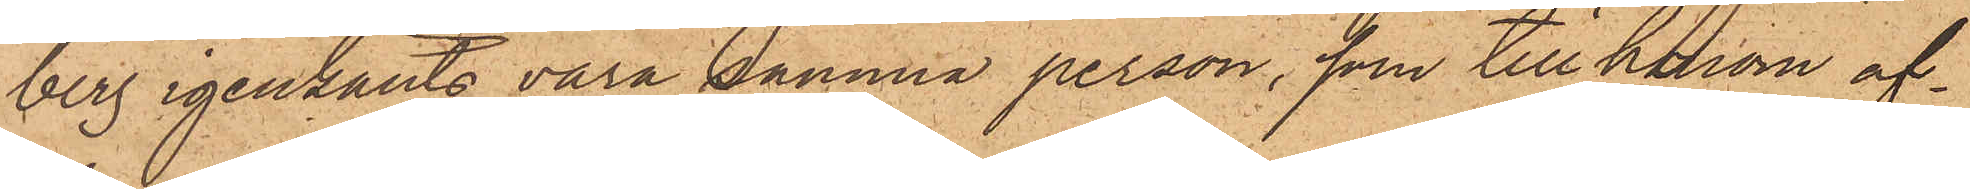berg igenkänts vara samma person, som till honom af¬
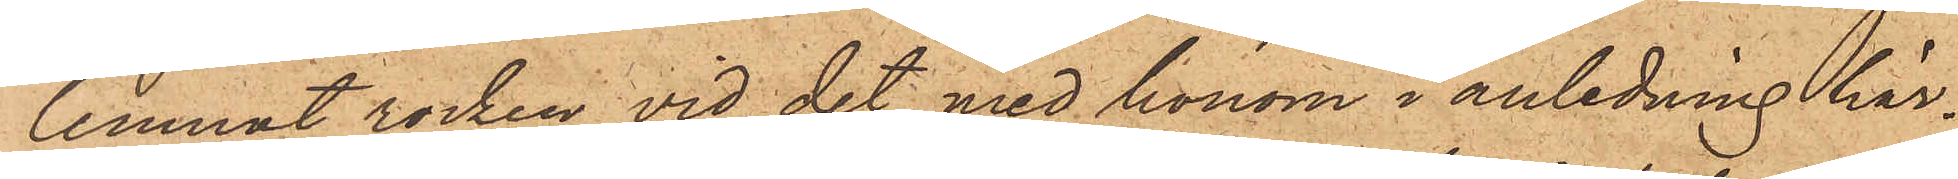lemnat rocken vid det med honom i anledning här¬
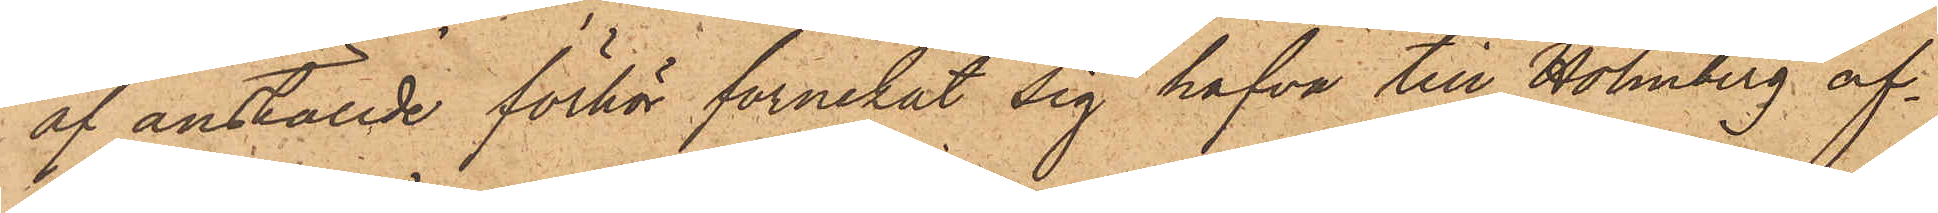af anställde förhör förnekat sig hafva till Holmberg af¬
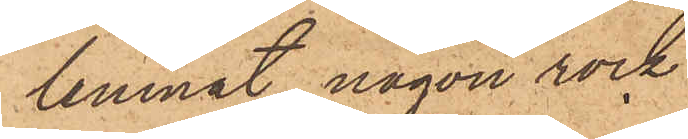lemnat någon rock
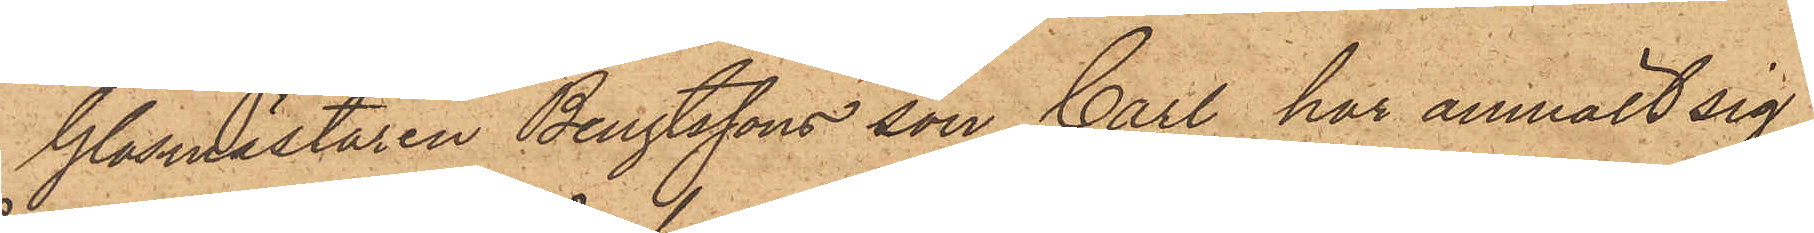Glasmästaren Bengtssons son Carl har anmält sig
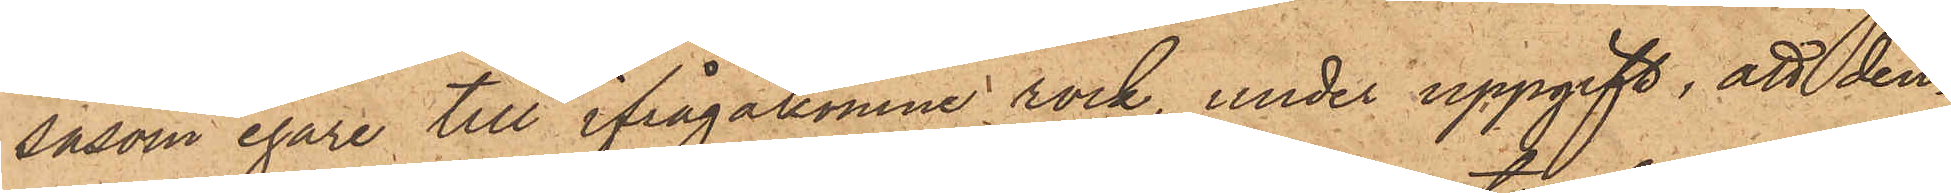såsom egare till ifrågakomne rock, under uppgift, att den¬
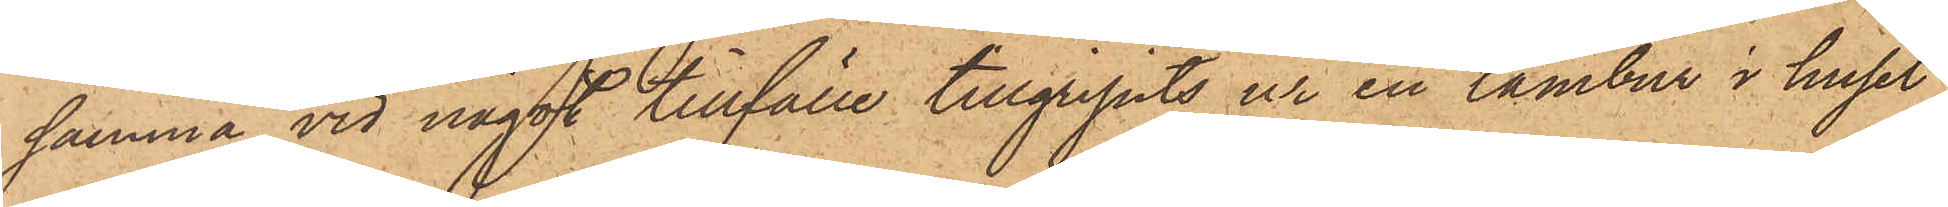samma vid något tillfälle tillgripits ur en tambur i huset
